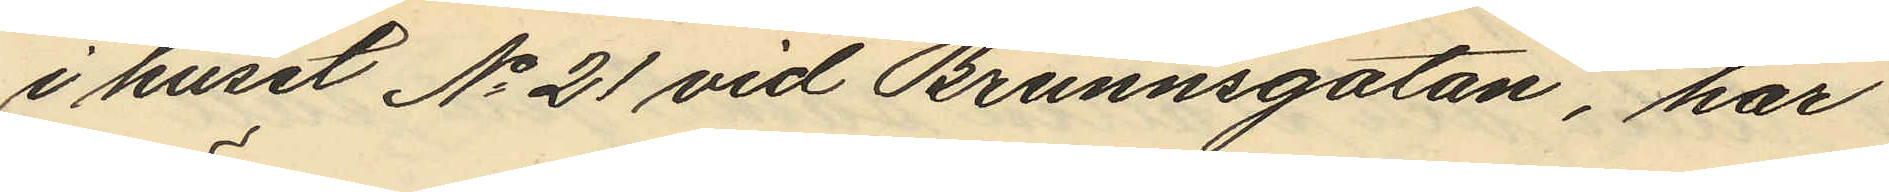i huset No 21 vid Brunnsgatan, har
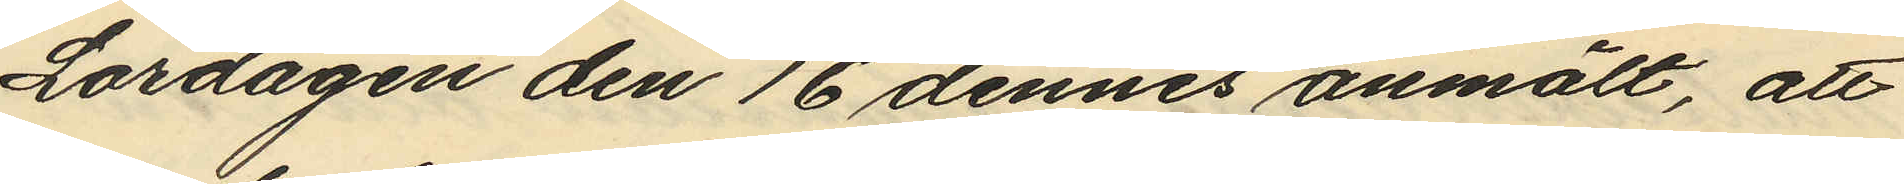Lördagen den 16 dennes anmält, att
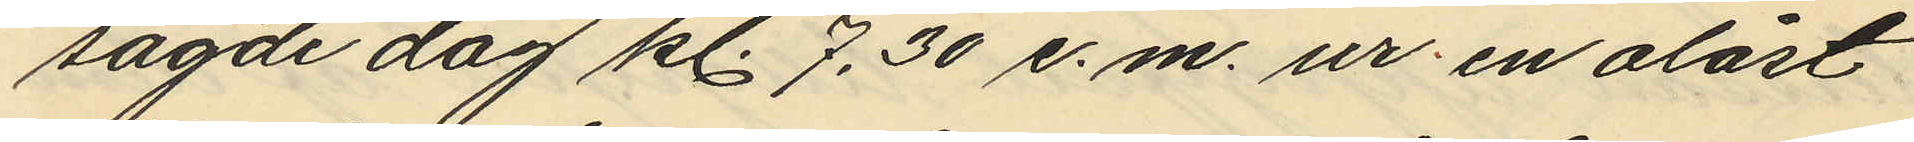sagde dag kl. 7.30 e. m. ur en olåst
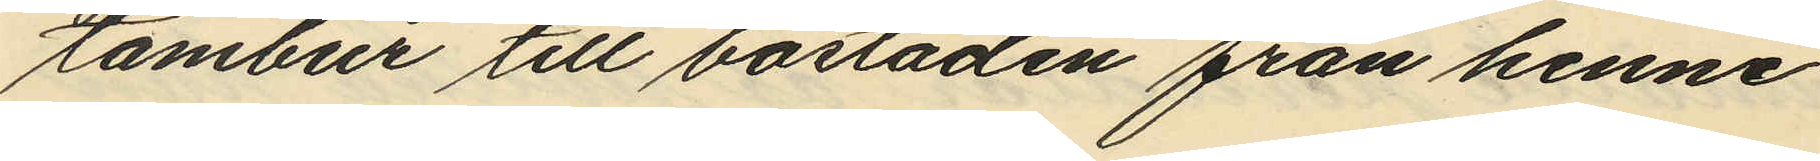tambur till bostaden från henne
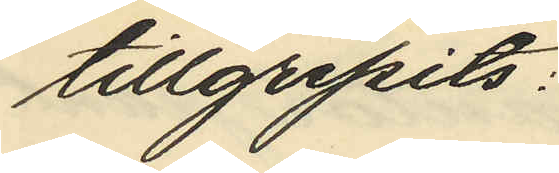tillgripits:
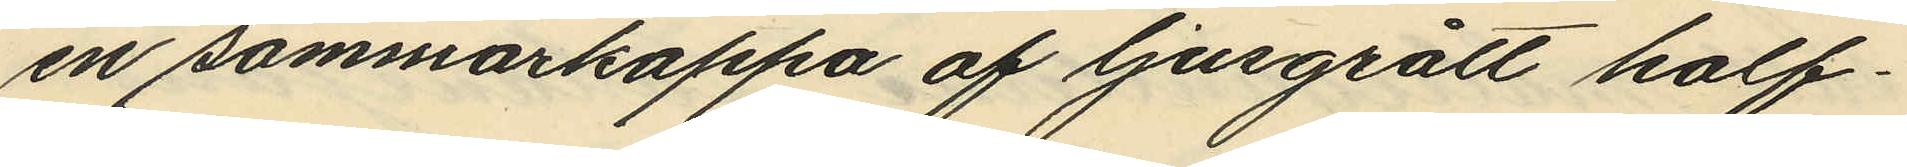en sommarkappa af ljusgrått half¬
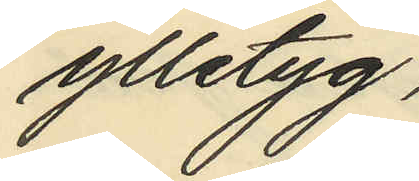ylletyg.
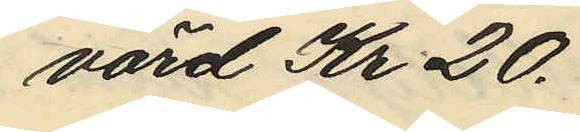värd Kr. 20.
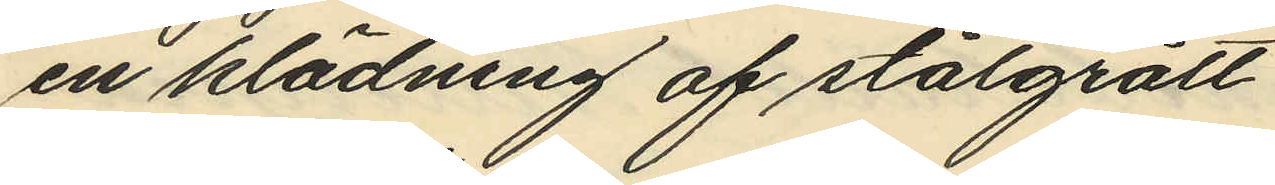en klädning af stålgrått
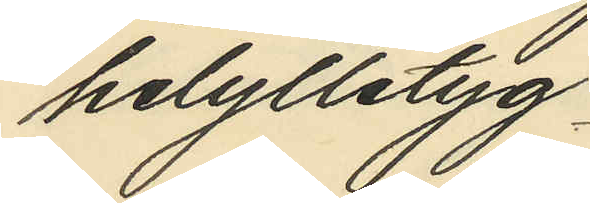helylletyg.
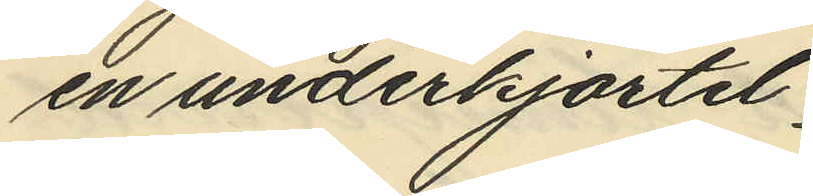en underkjortel
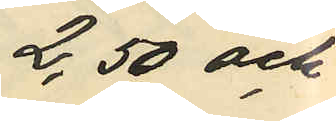2,50 och
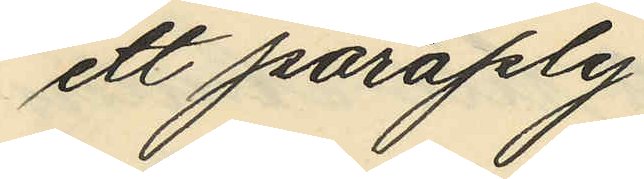ett paraply
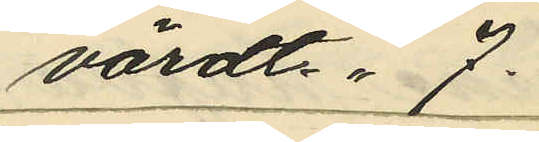värdt  7.
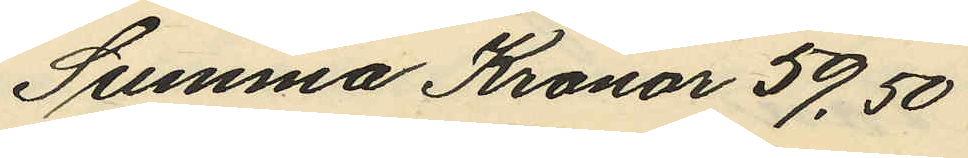Summa Kronor 59,50
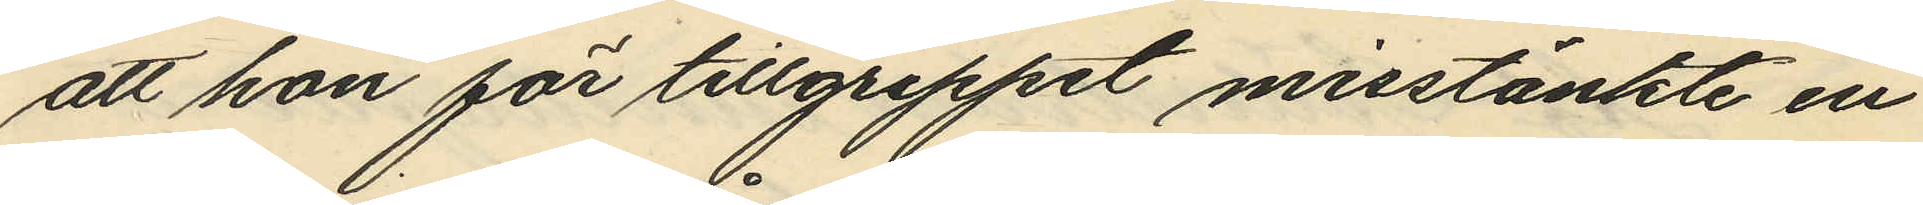att hon för tillgreppet misstänkte en
